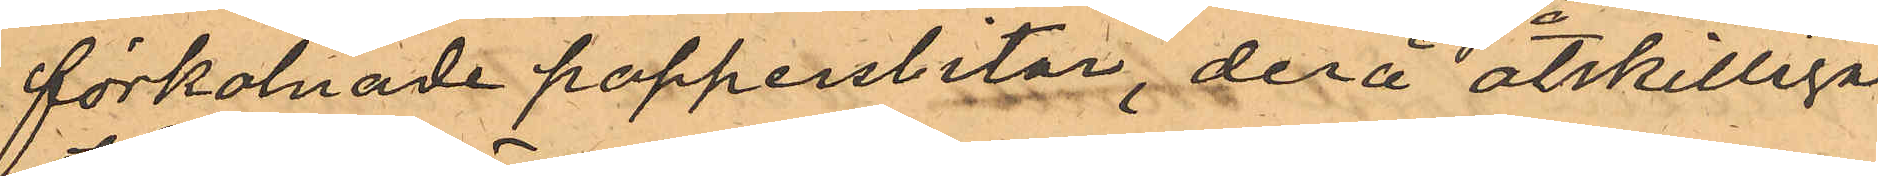förkolnade pappersbitar, derå åtskilliga
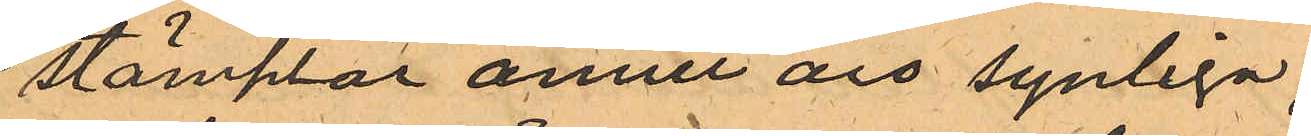stämplar ännu äro synliga;
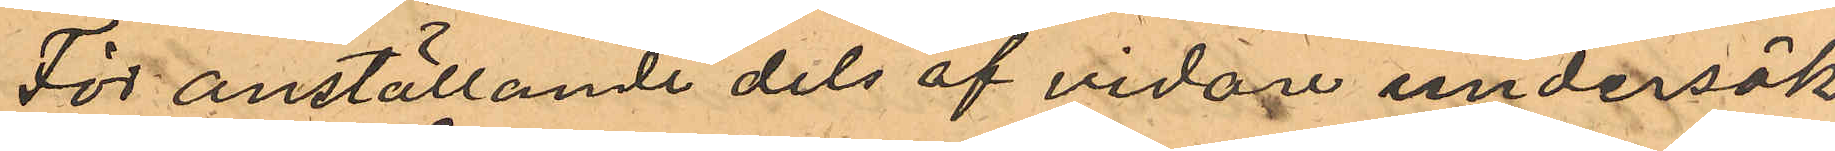För anställande dels af vidare undersök¬
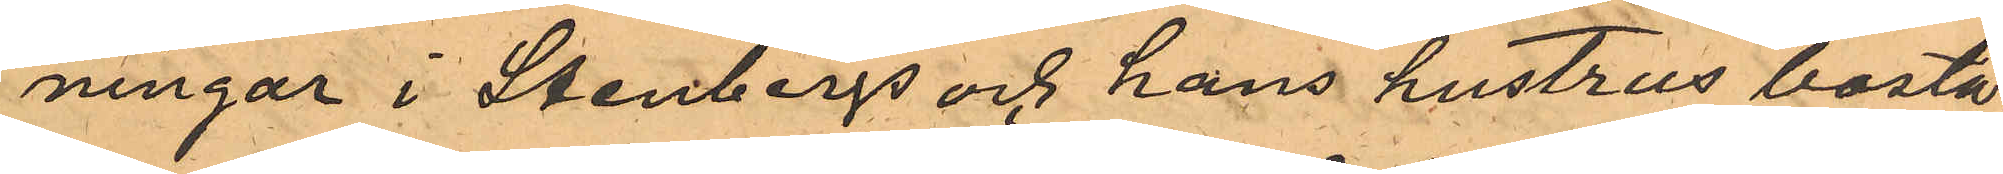ningar i Stenbergs och hans hustrus bostä¬
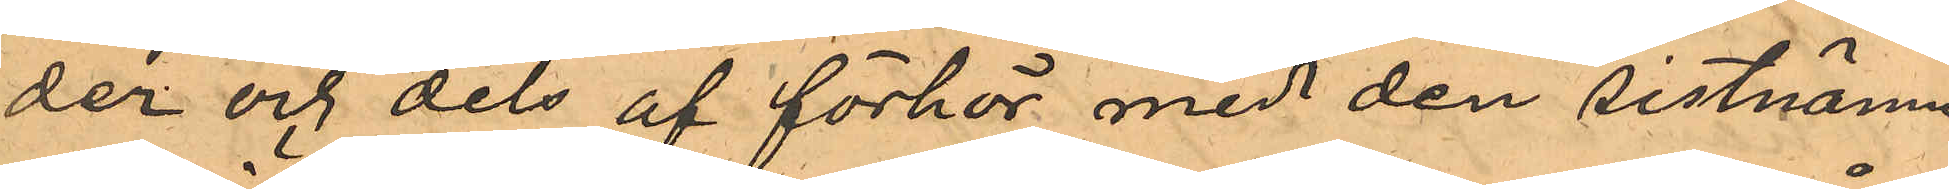der och dels af förhör med den sistnämn¬
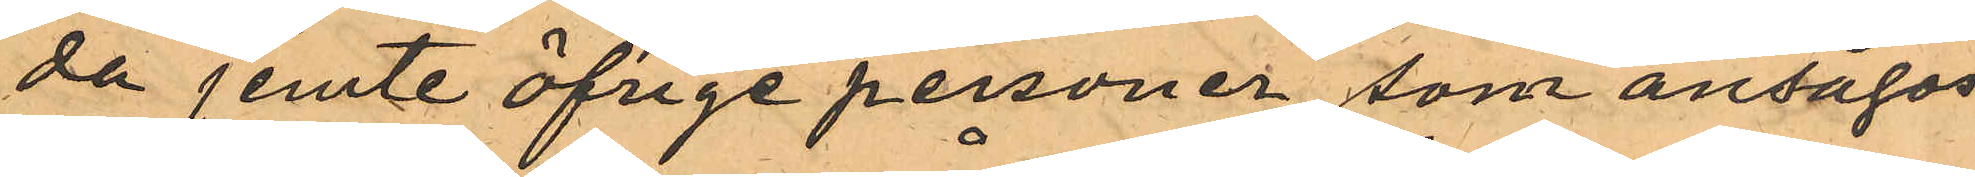da jemte öfrige personer, som ansågos
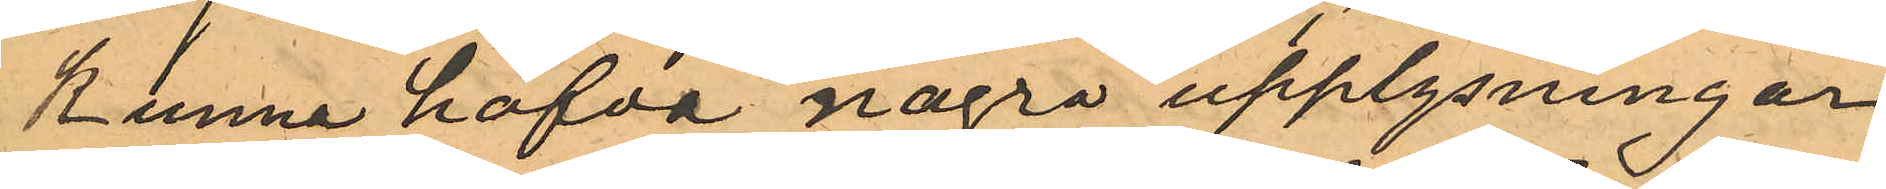kunna hafva några upplysningar
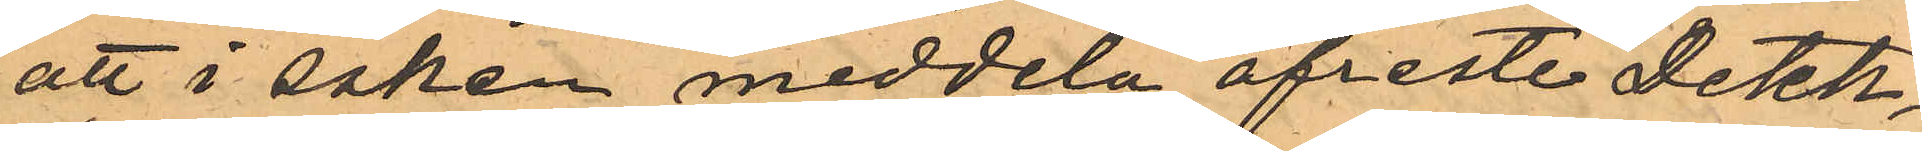att i saken meddela afreste Detek¬
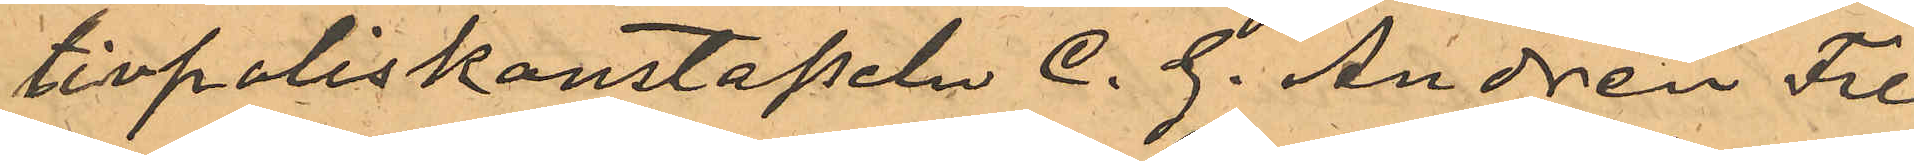tivpoliskonstapeln C. G. Andrén Fre
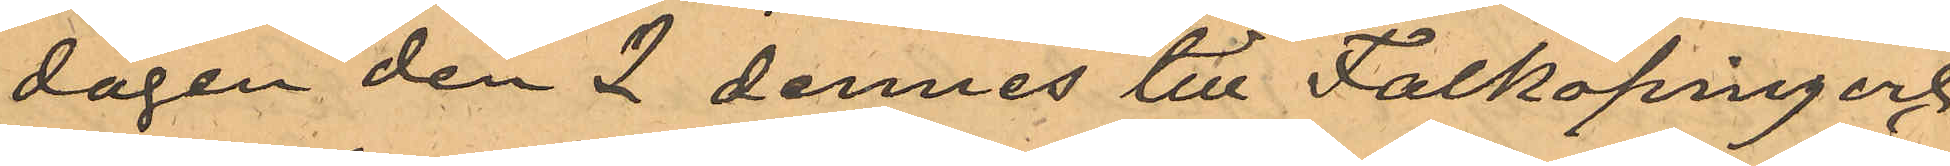dagen den 2 dennes till Falköping och
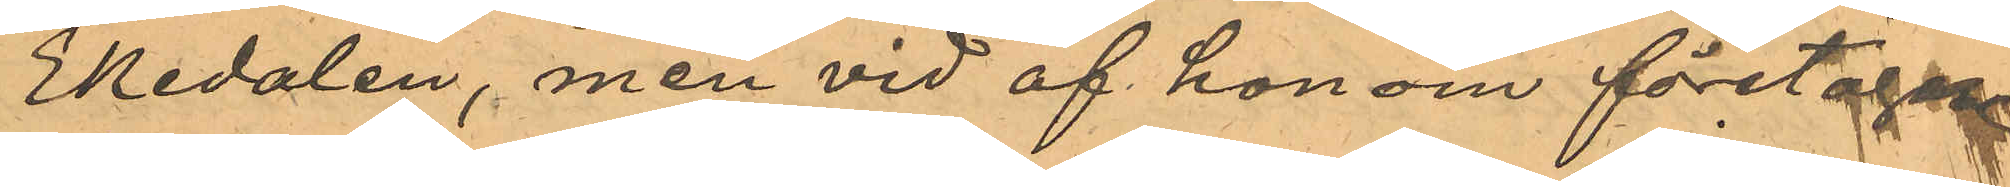Ekedalen, men vid af honom företagne
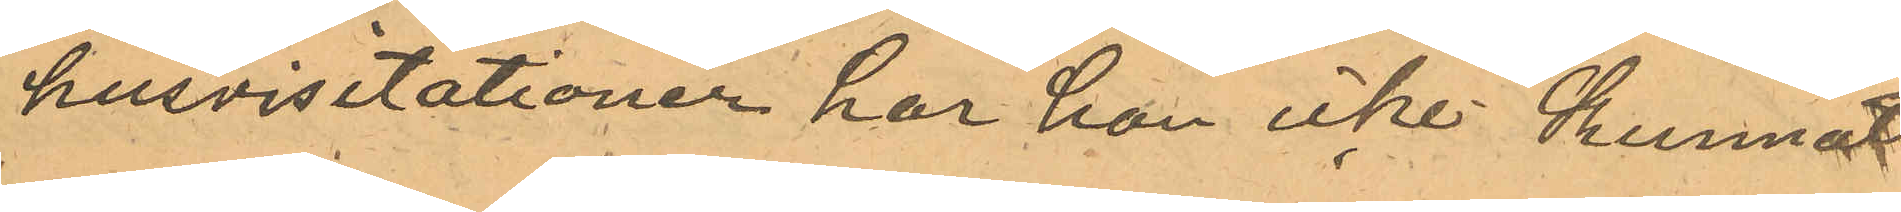husvisitationer har han icke kunnat
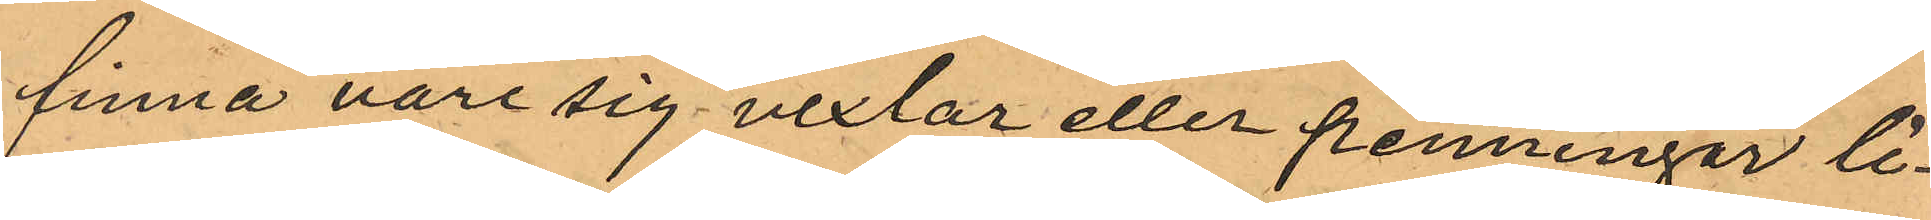finna vore sig vexlar eller penningar li¬
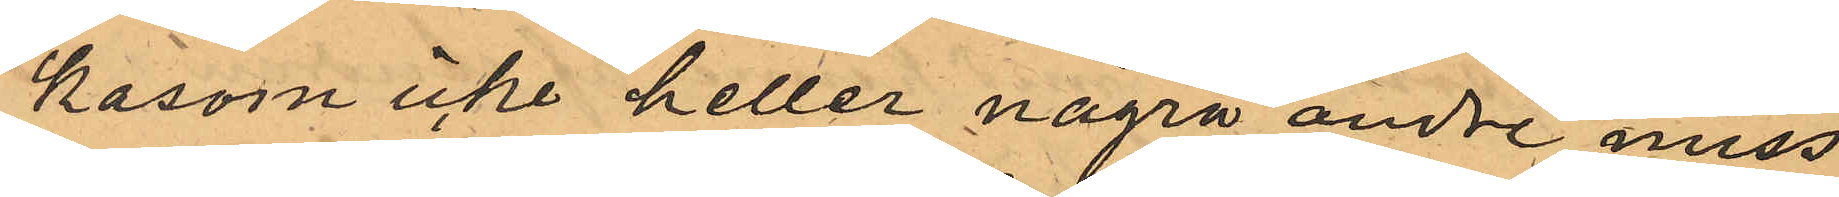kasom icke heller några andre miss¬
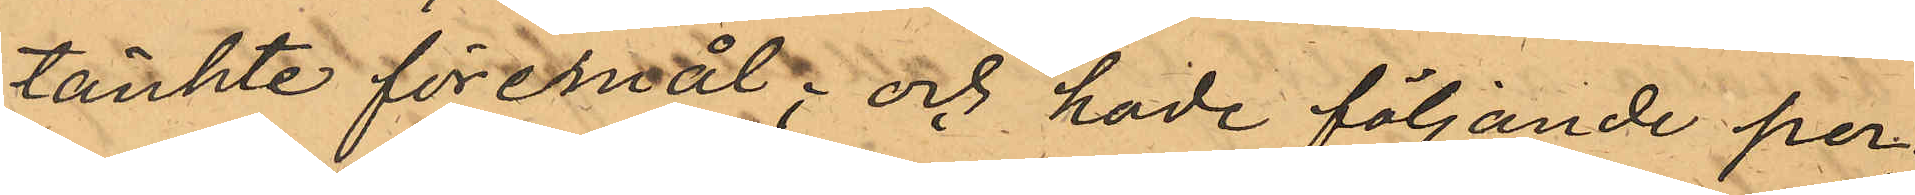tänkte föremål; och hade följande per¬
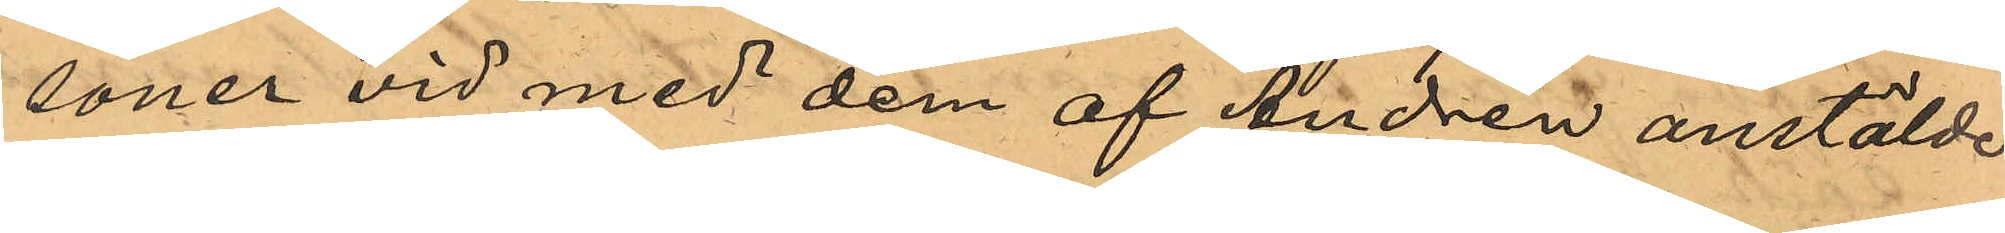soner vid med dem af Andrén anstälde
